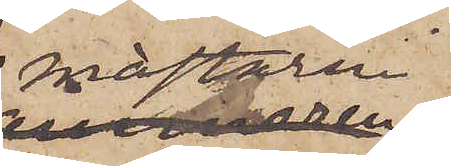mästaren i
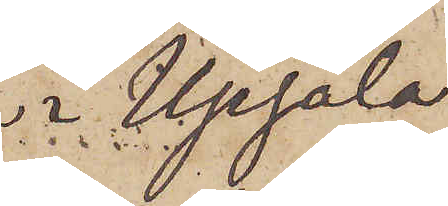 Upsala
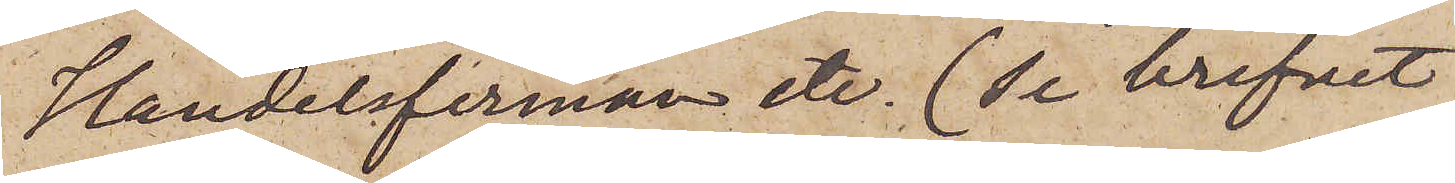Handelsfirman etc (se brefvet
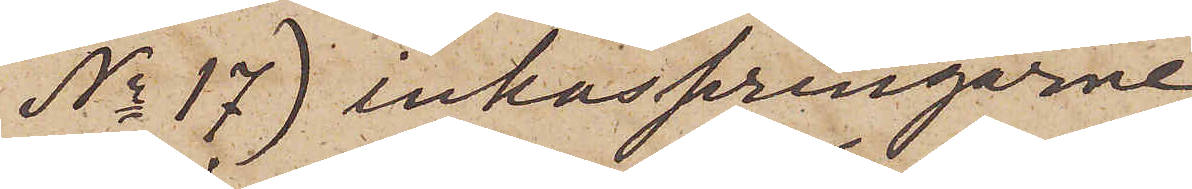No 17) inkasseringarne.
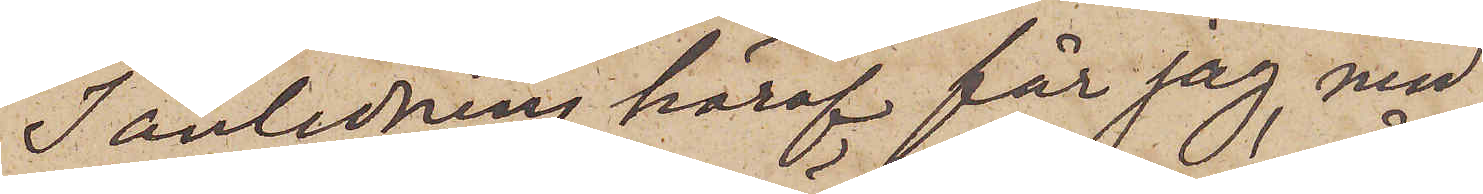I anledning häraf får jag, med
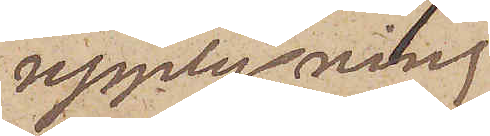upplysning
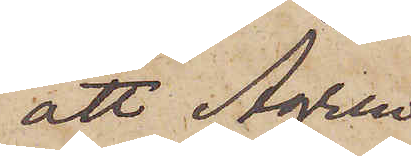att Ågren
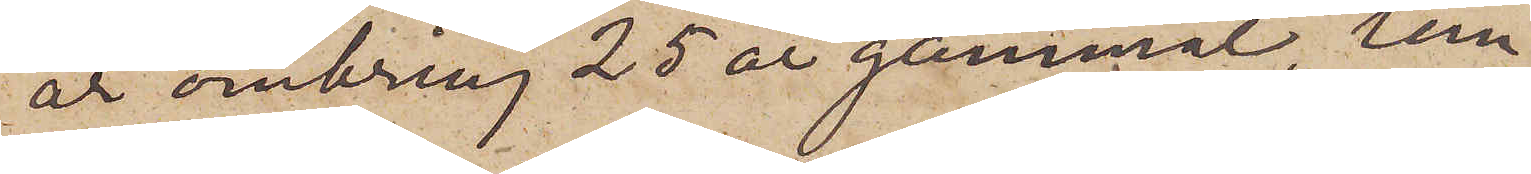är omkring 25 år gammal, tem¬
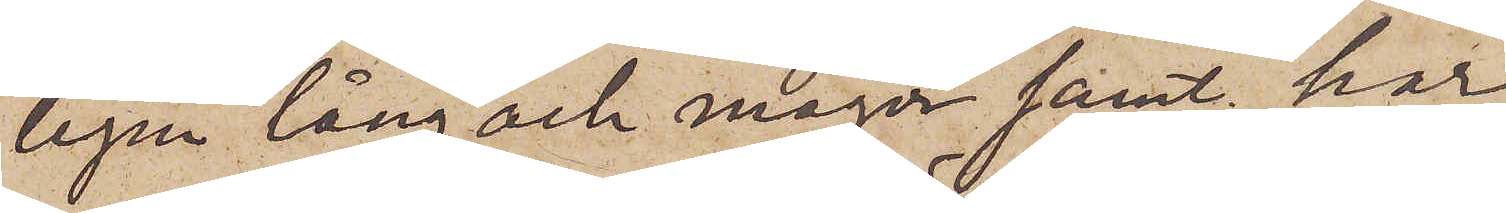ligen lång och mager samt har
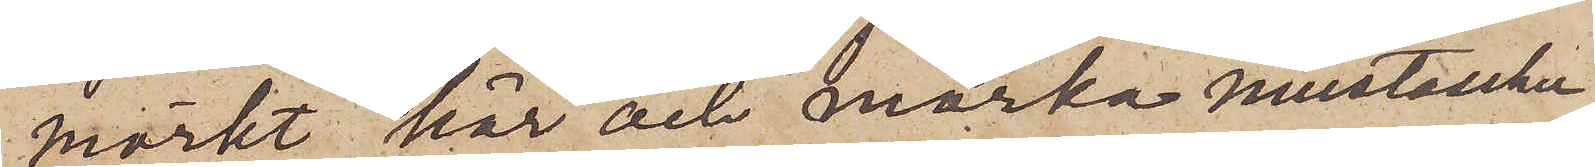mörkt hår och mörka mustascher
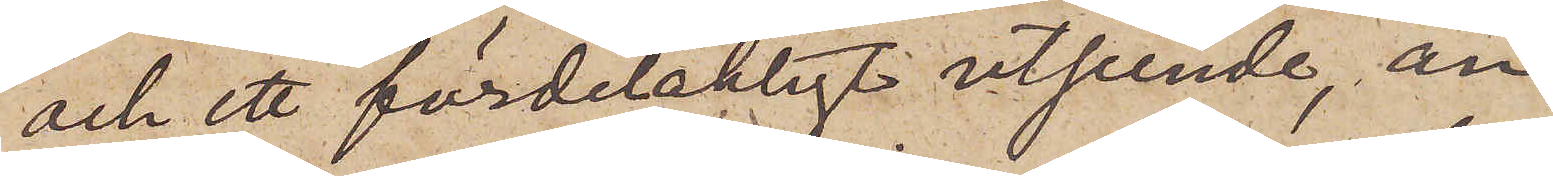och ett fördelakligt utseende, an¬
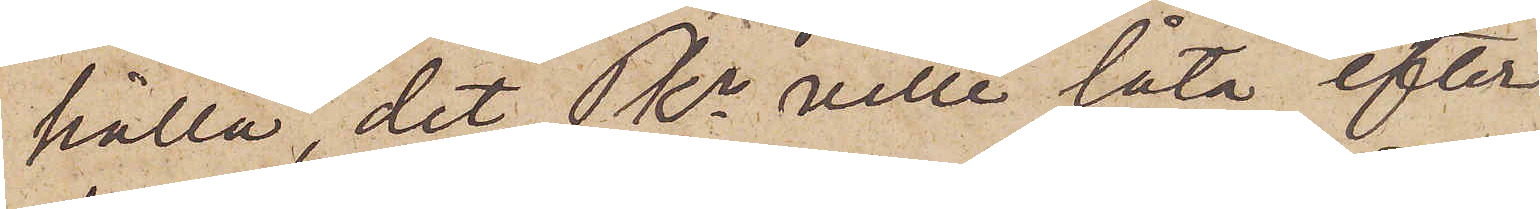hålla, det Pkn ville låta efter¬
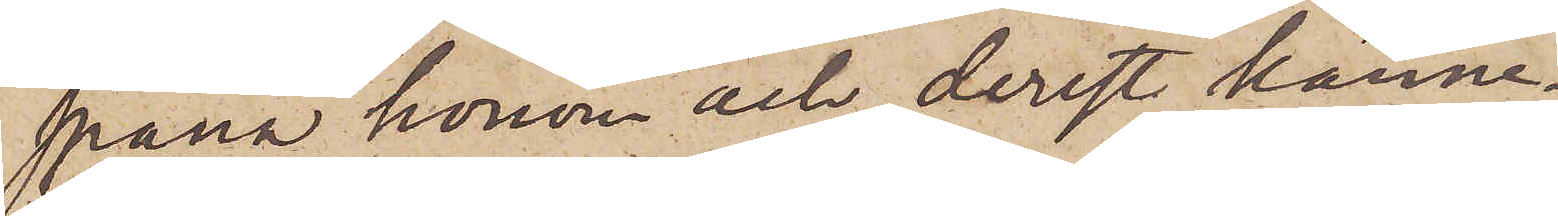spana honom och, derest känne¬
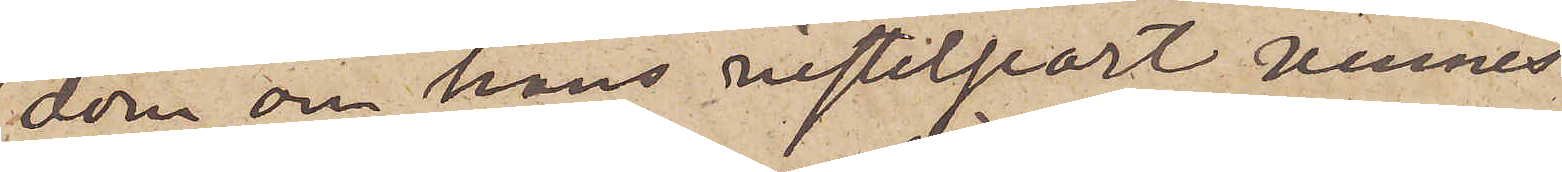dom om hans vistelseort vinnes
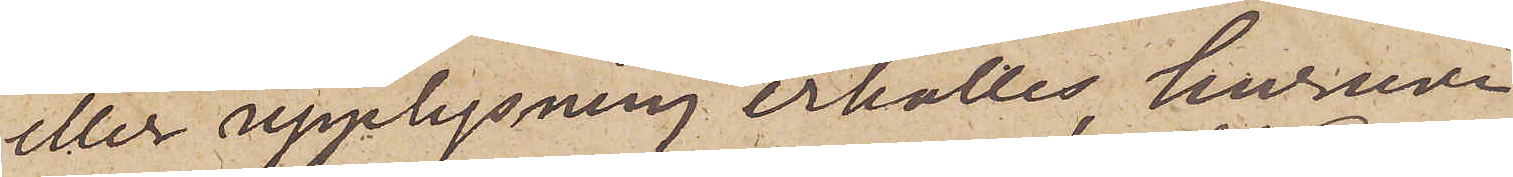eller upplysning erhålles huruvi¬
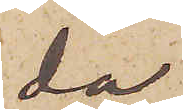da
